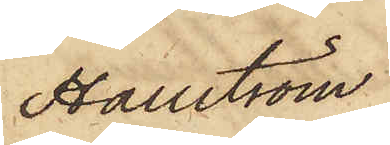Hallström
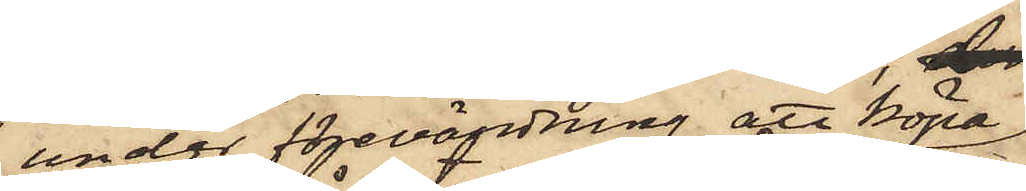under förevändning att köpa
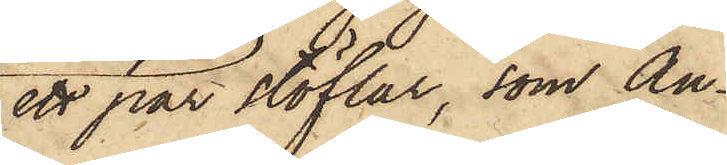ett par stöflar, som An¬
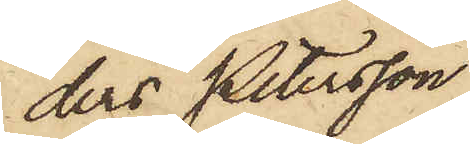ders Petersson
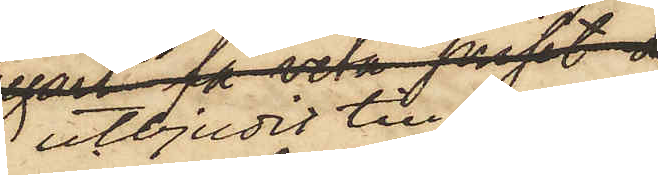utbjudit till salu,
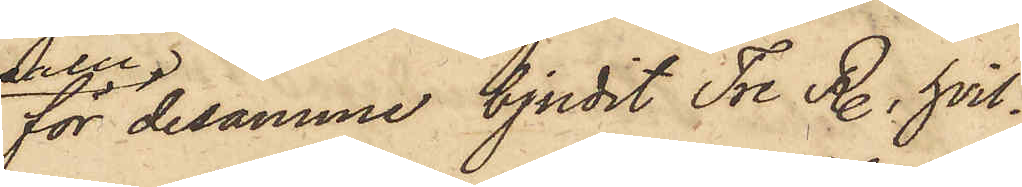för desamme bjudit Tre R., hvil¬
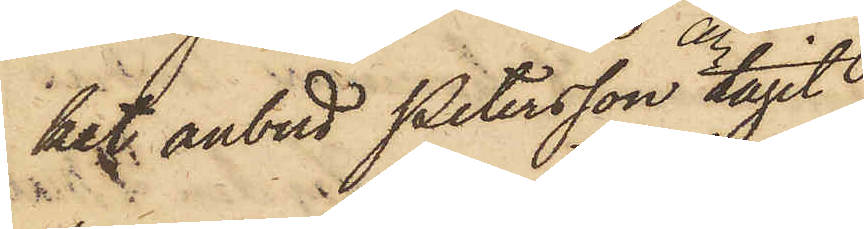het anbud Petersson tagit
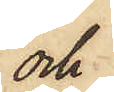och
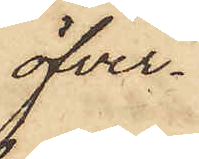öfver¬
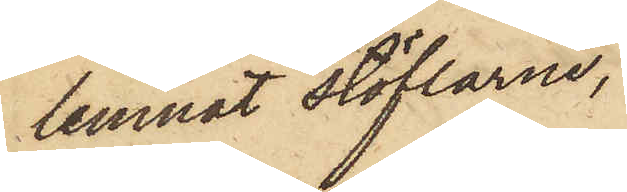lemnat stöflarne,
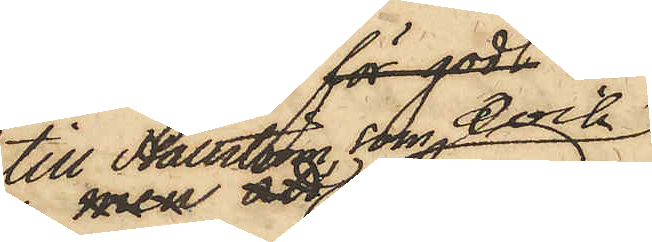till Hallström, som dock
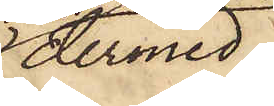dermed
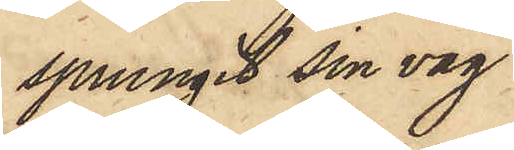sprungit sin väg
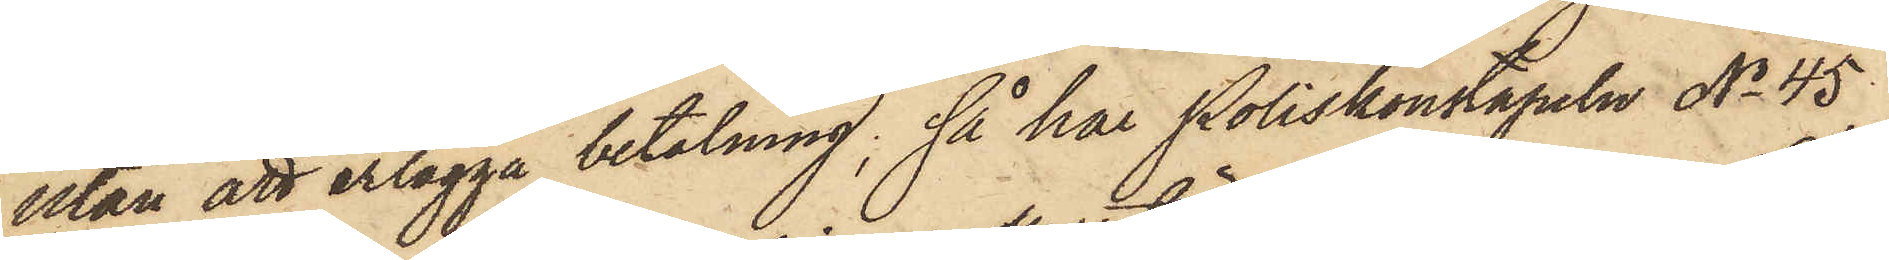utan att erlägga betalning, så har Poliskonstapeln No 45
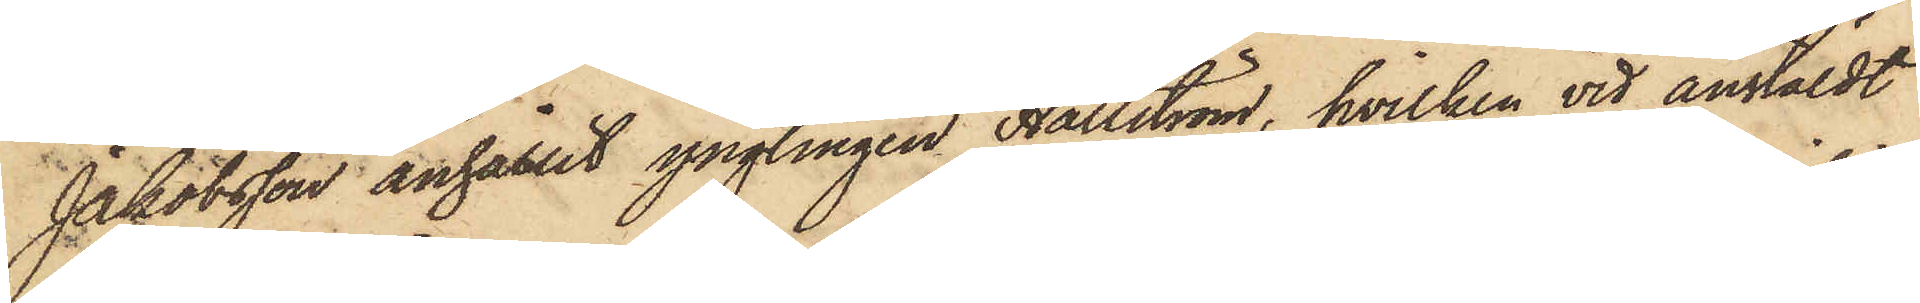Jakobsson anhållit ynglingen Hallström, hvilken vid anstäldt
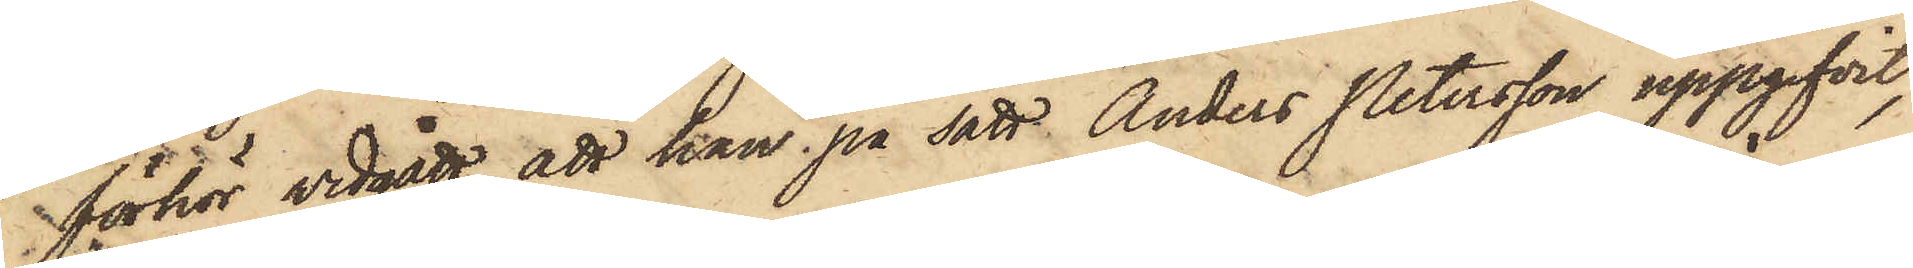förhör vidgått, att han på sätt Anders Petersson uppgifvit,
